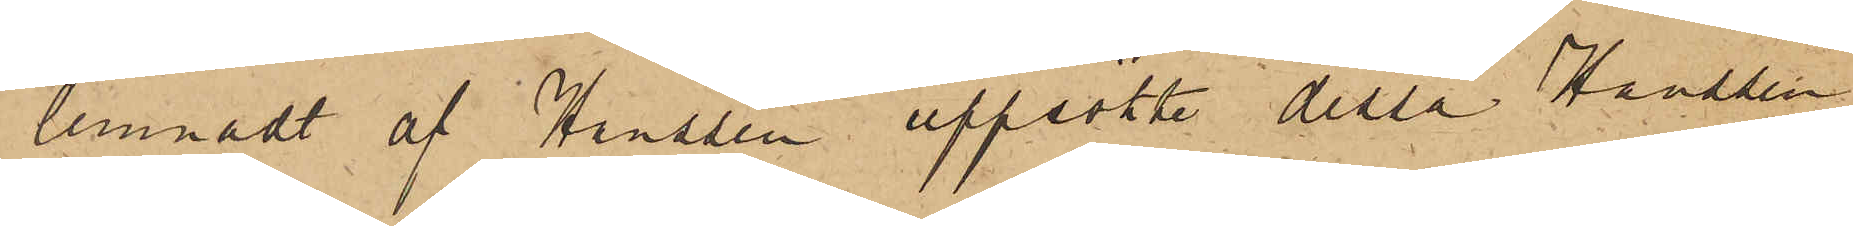lemnadt af Hanssen uppsökte dessa Hanssen,
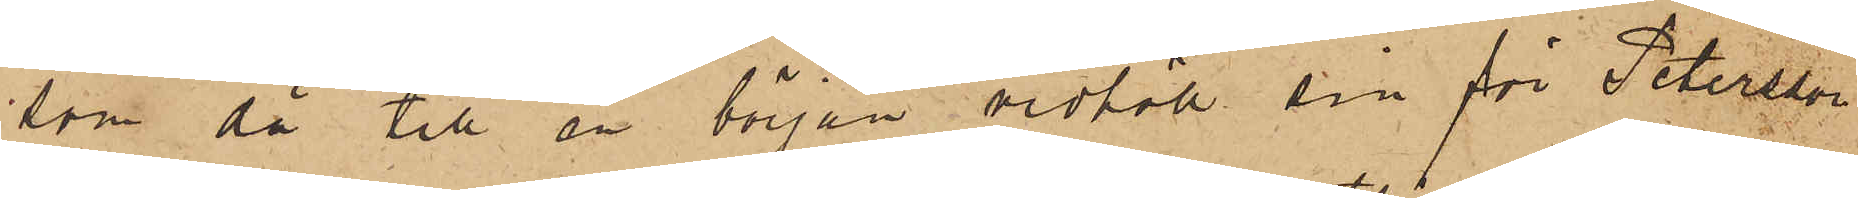som då till en början vidhöll sin för Petersson
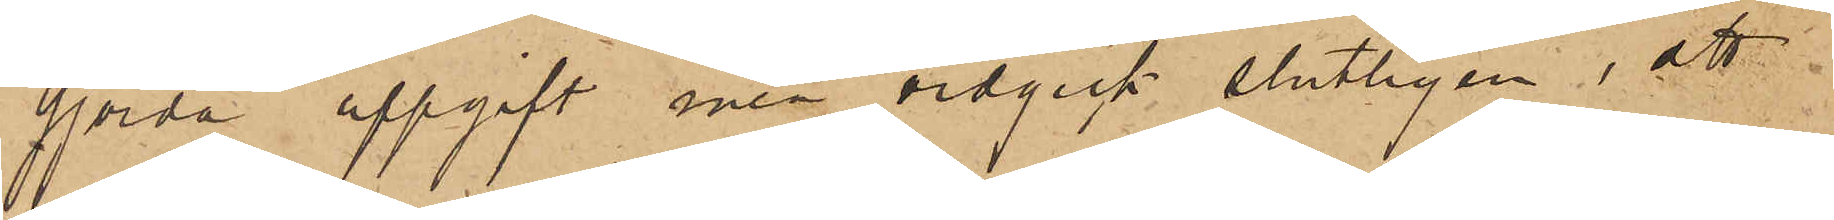gjorda uppgift men vidgick slutligen; att
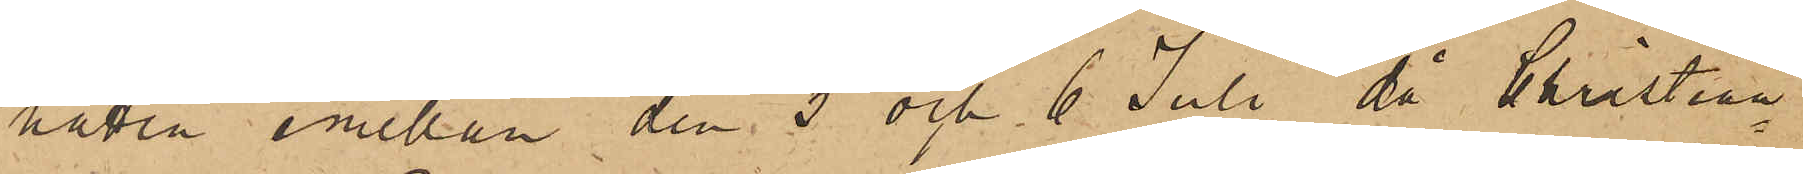natten emellan den 5 och 6 Juli, då Christian¬
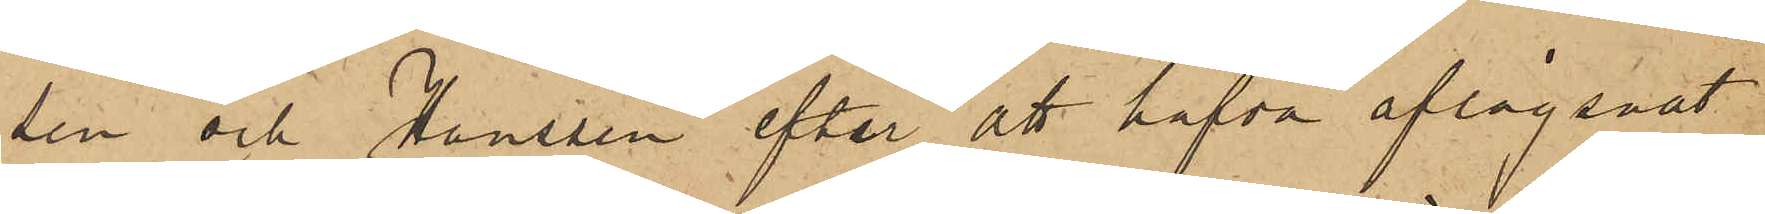sen och Hanssen efter att hafva aflägsnat
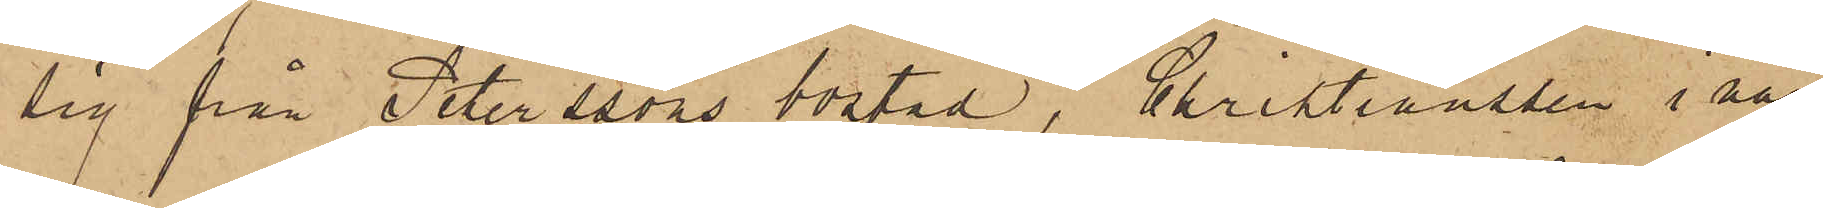sig från Peterssons bostad, Christianssen i när¬
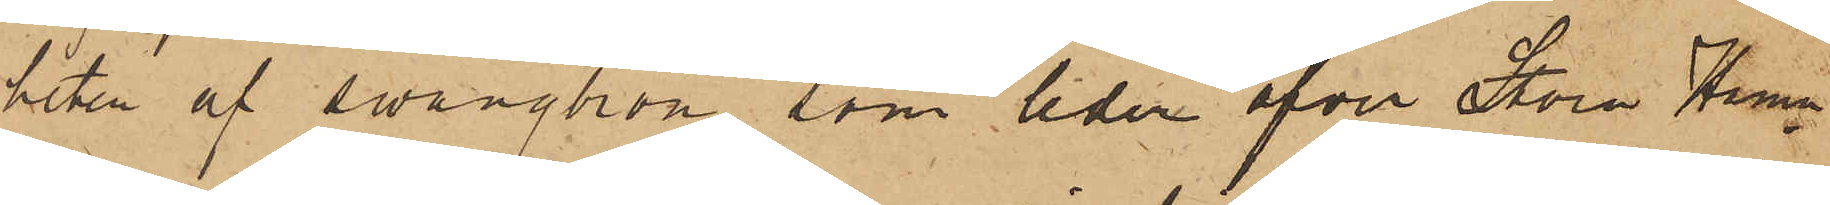heten af swängbron, som leder öfver Stora Hamn¬
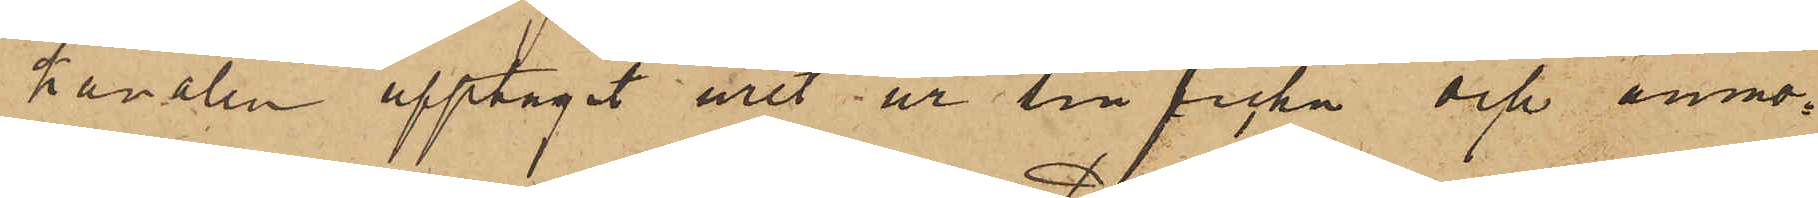kanalen upptagit uret ur sin ficka och anmo¬
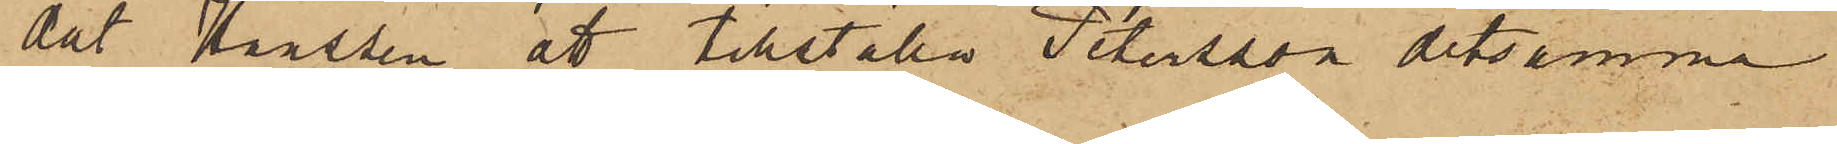dat Hanssen att tillställa Petersson detsamma
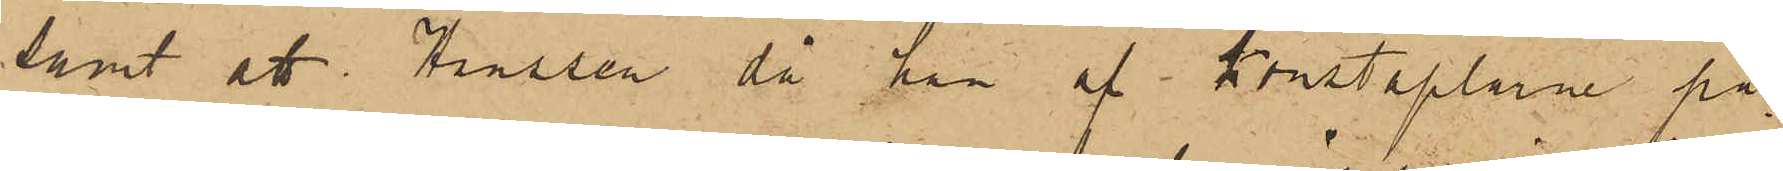samt att Hanssen, då han af konstaplarne på¬
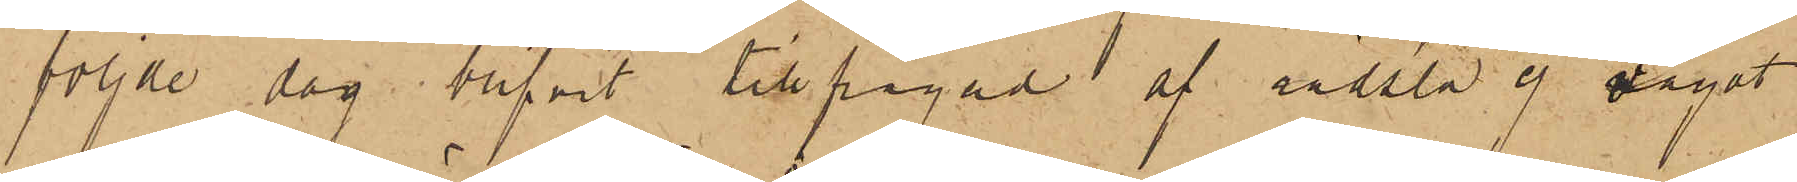följde dag blifvit tillfrågad af rädsla ej vågat
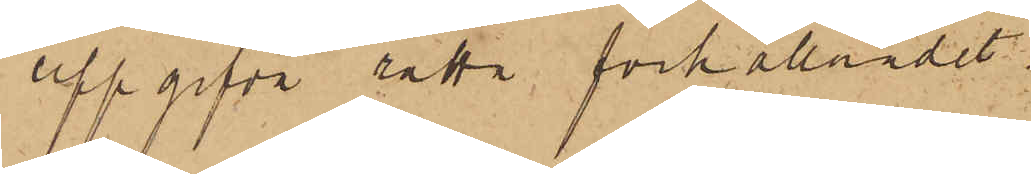uppgifva rätta förhållnadet.
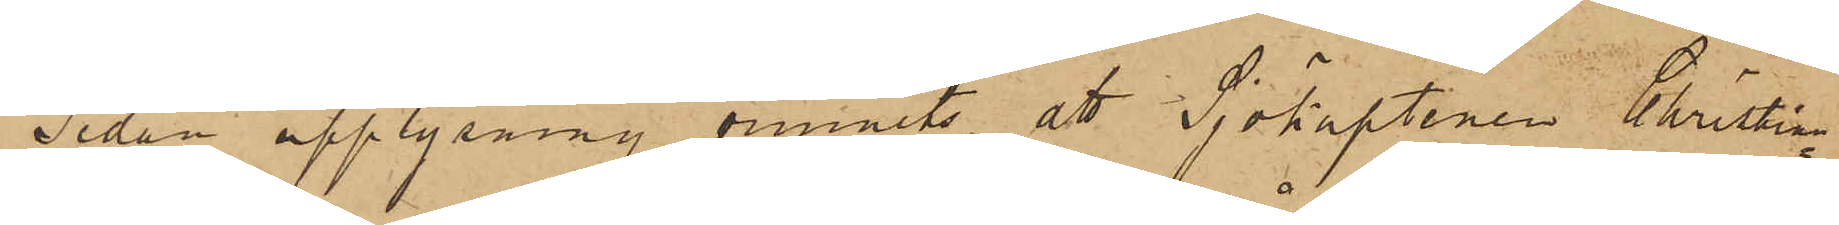Sedan upplysning vunnits, att Sjökaptenen Christian¬
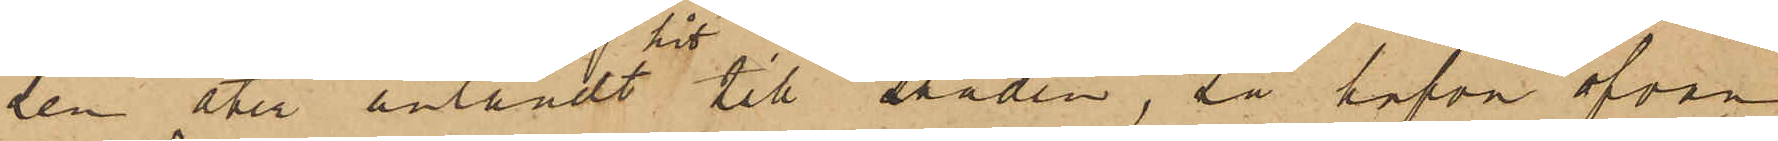sen åter anländt hit till staden, så hafva ofvan
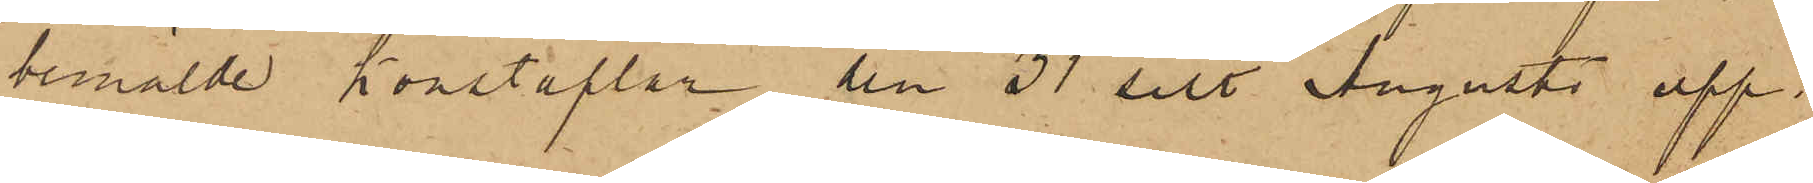bemälde Konstaplar den 31 sist. Augusti upp¬
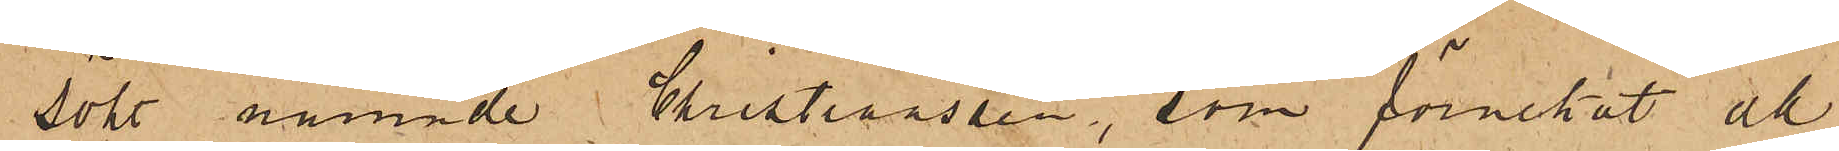sökt nämnde Christiansson, som förnekat all
